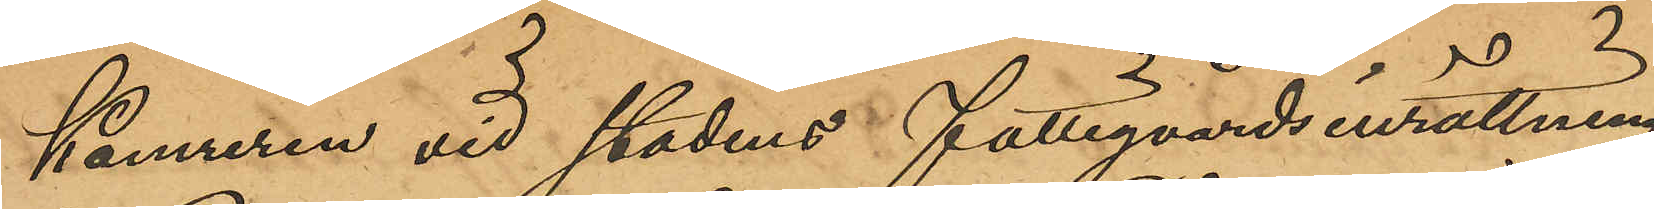Kamreren vid stadens Fattigvårdsinrättning
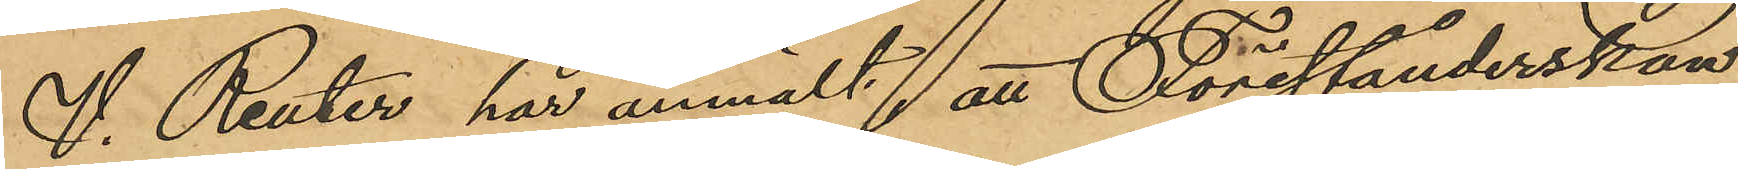V. Reuter, har anmält; att Förestånderskan
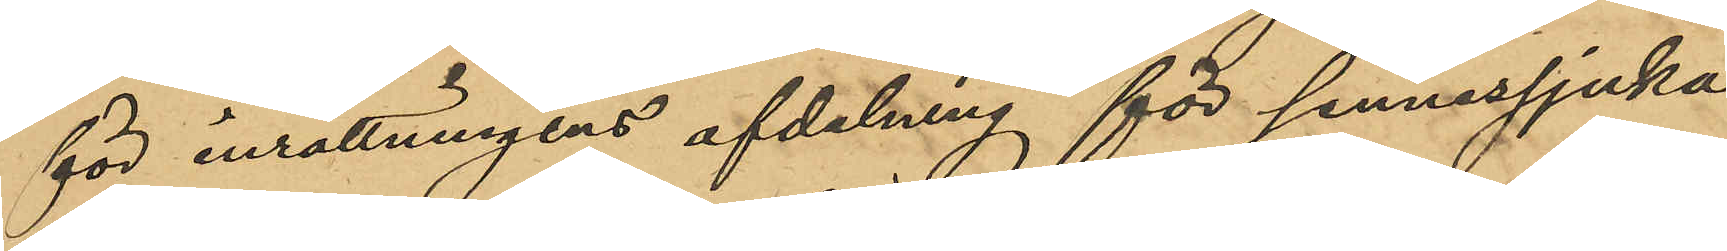för inrättningens afdelning för sinnessjuka
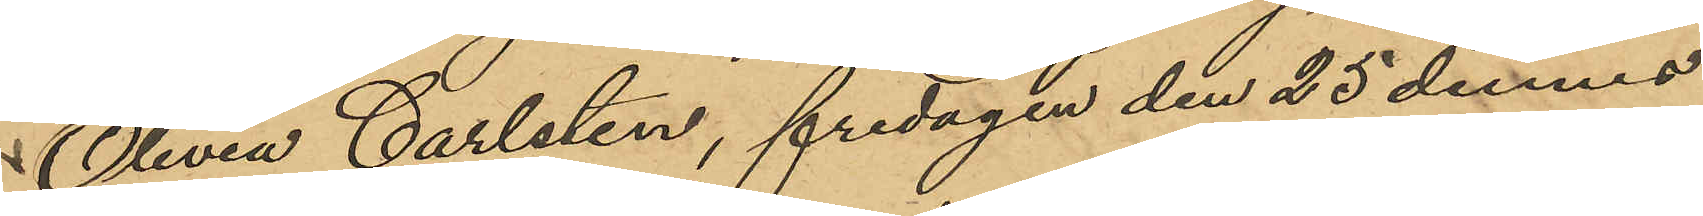Olivia Carlsten, fredagen den 25 dennes
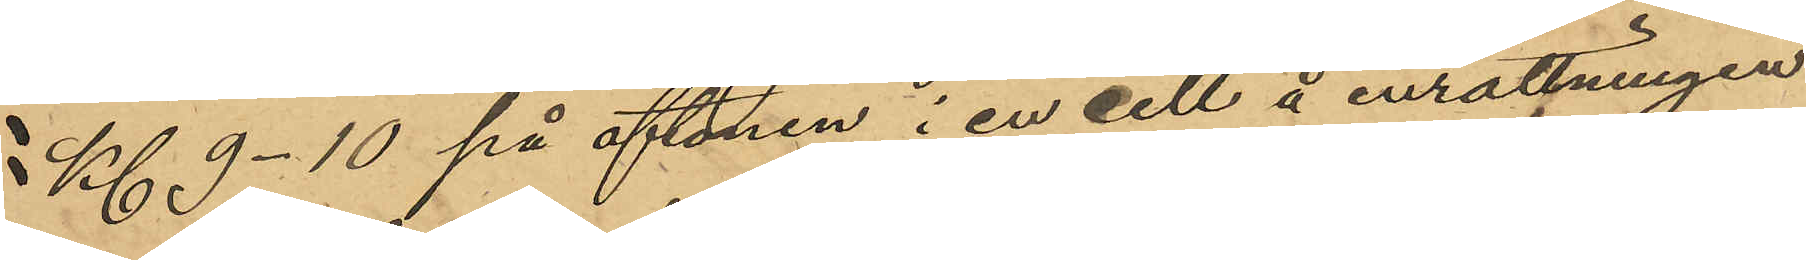Kl 9-10 på aftonen i en cell å inrättningen
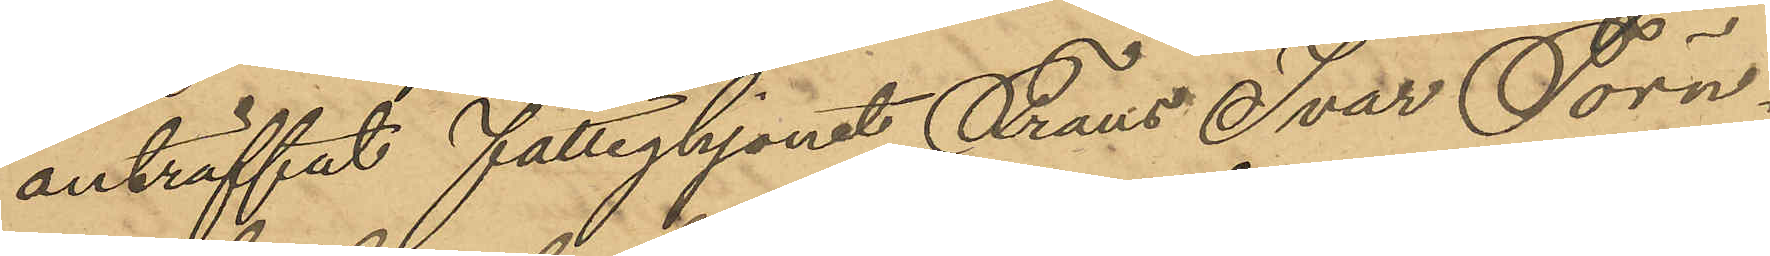anträffat Fattighjonet Frans Ivar Törn¬
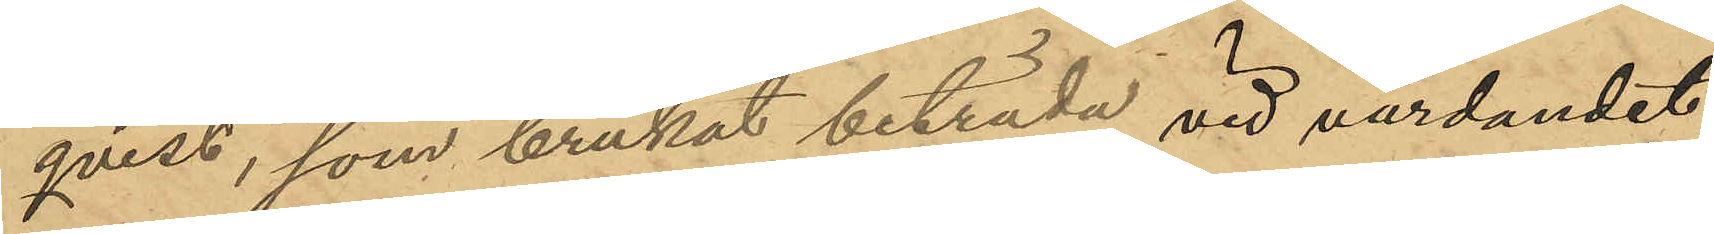qvist, som brukat biträda vid vårdandet
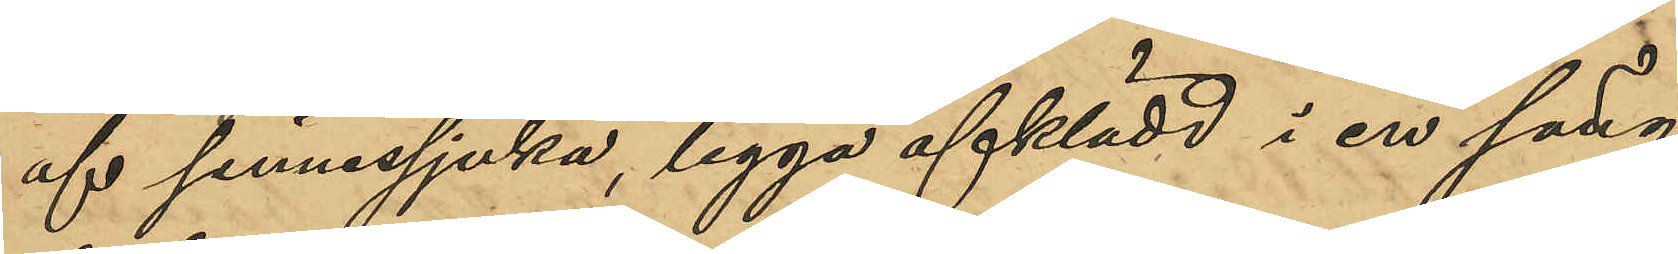af sinnessjuka, ligga afklädd i en säng
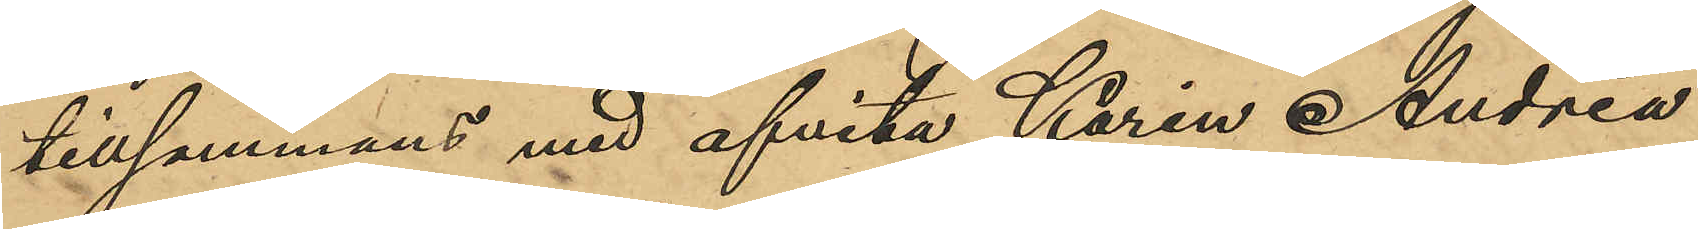tillsammans med afvita Karin Andrea
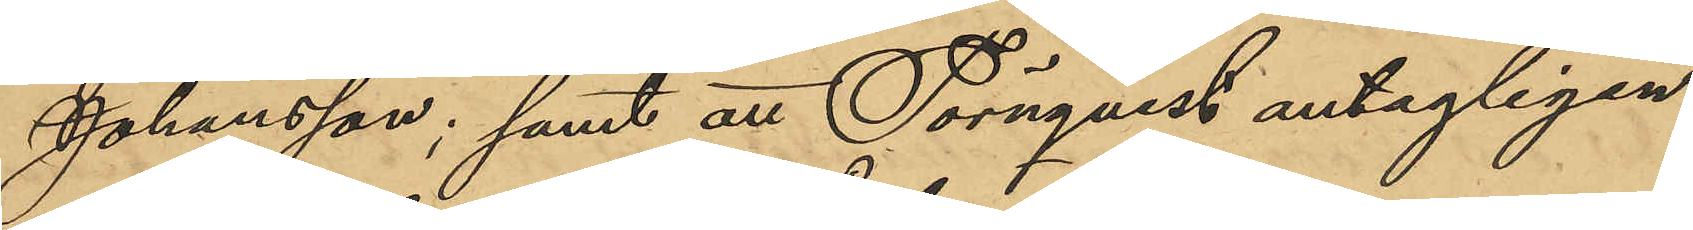Johansson; samt att Törnqvist antagligen
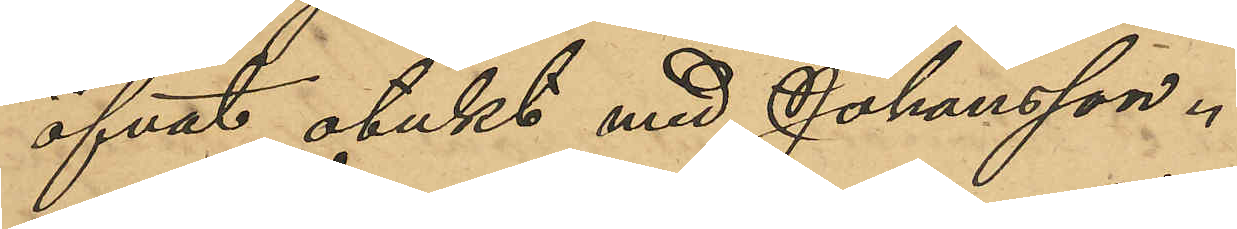öfvat otukt med Johansson.
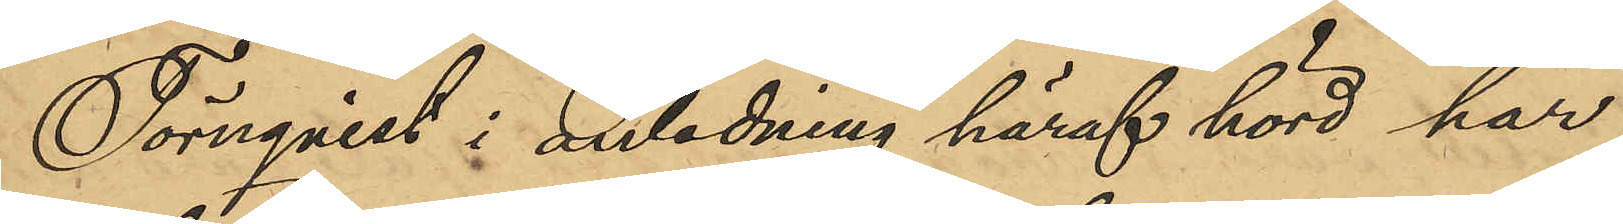Törnqvist i anledning häraf hörd har
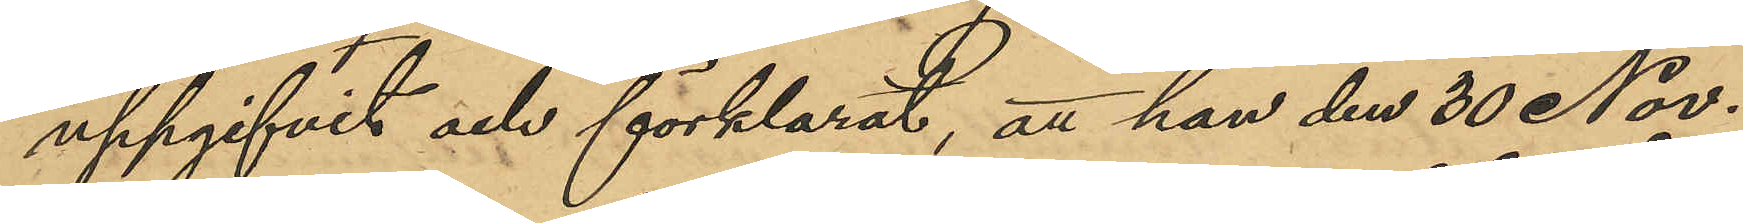uppgifvit och förklarat, att han den 30 Nov.
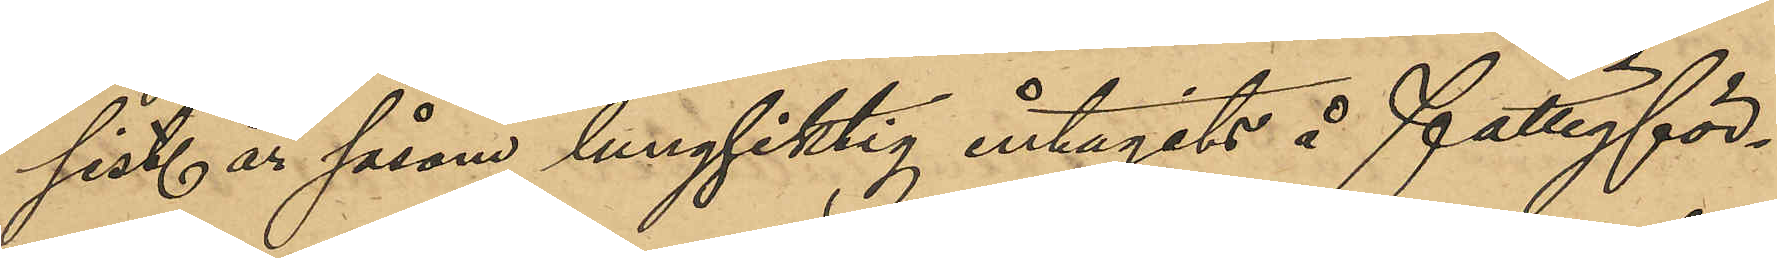sist. år såsom lungsiktig intagits å fattigför¬
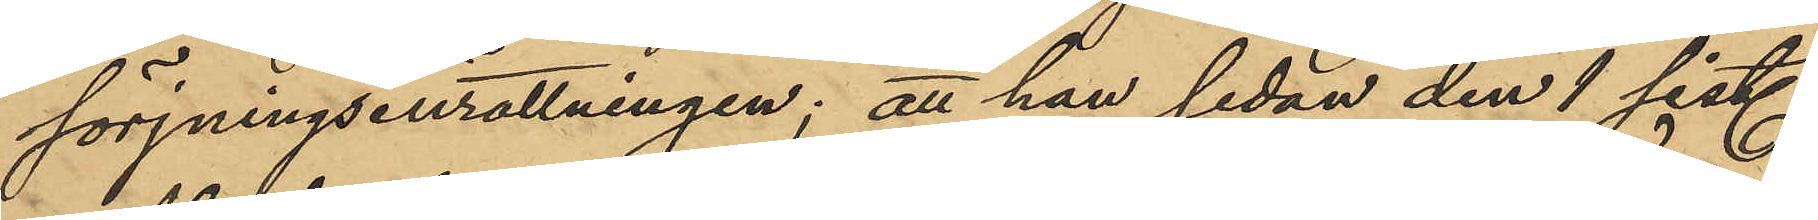förjningsinrättningen; att han sedan den 1 sist.
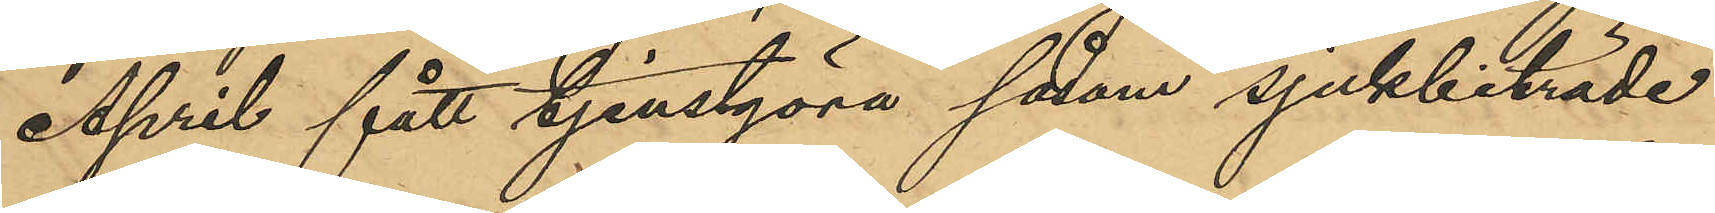April fått tjenstgöra såsom sjukbiträde
